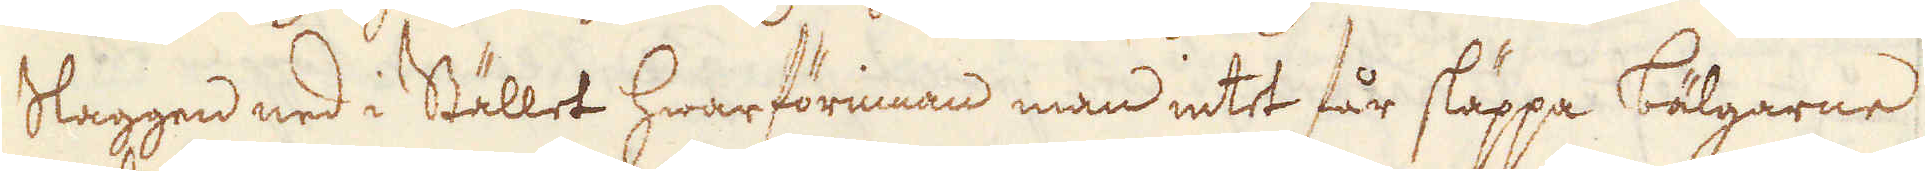Slaggen ned i Stället hwarförinnan man intet får släppa bälgarne
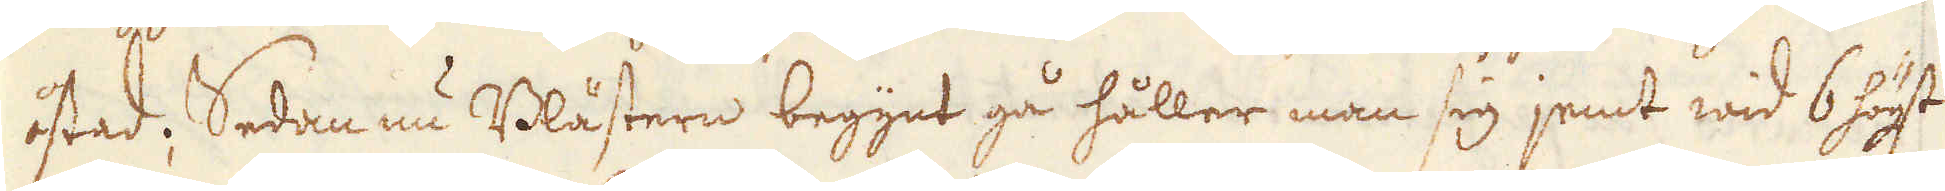åstad; Sedan nu Blästern begynt gå håller man sig jemt wid 6 högt
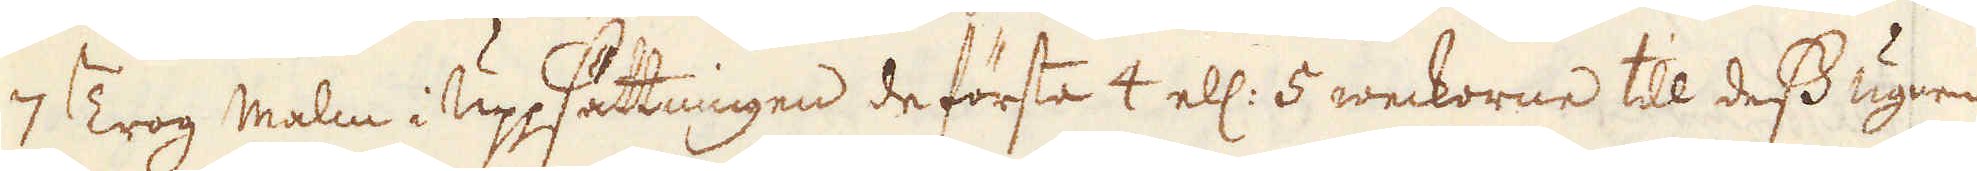7 Trog malm i Uppsättningen de första 4 el: 5 weckorne till dess ugnen
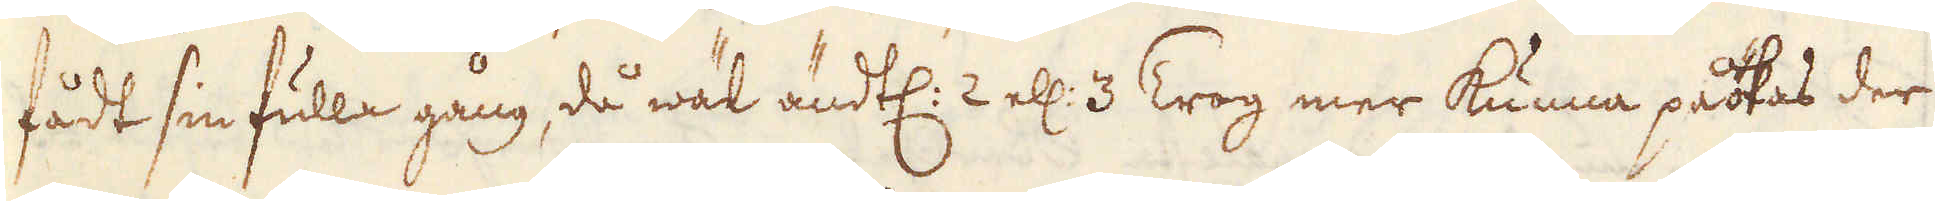fådt sin fulla gång, då wäl ändtl: 2 el: 3 Trog mer kunna påökas der
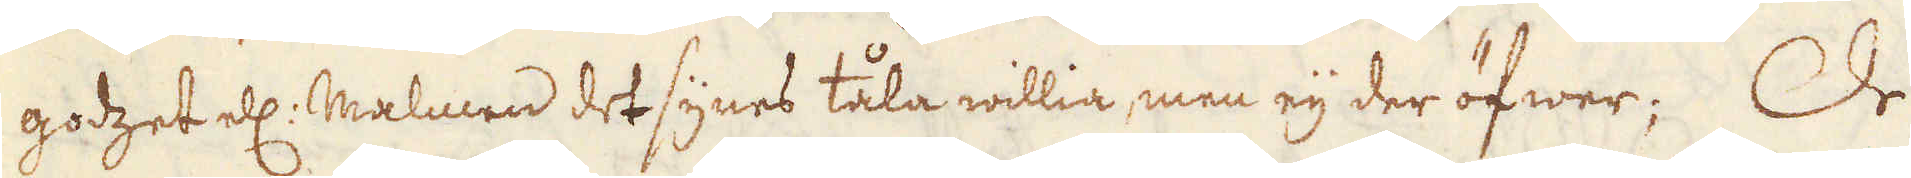godzet el: Malmen det synes tåla willia men eij der öfwer; De
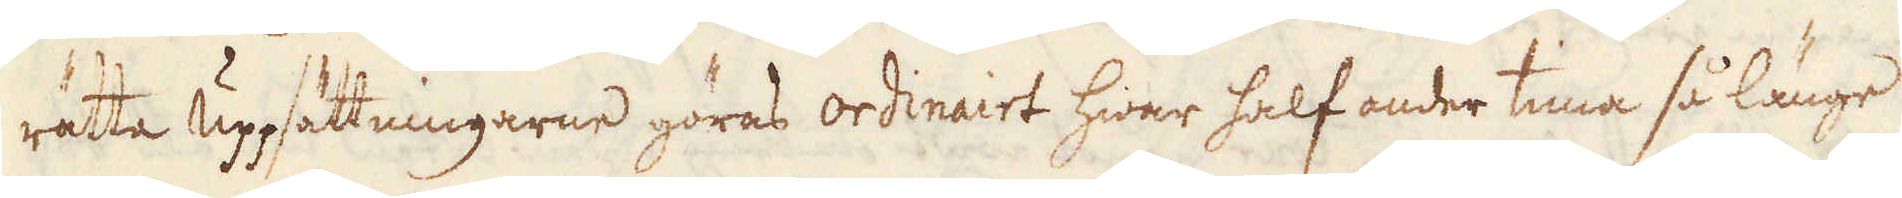rätta uppsättningarne göras ordinairt hwar half onder tima så länge
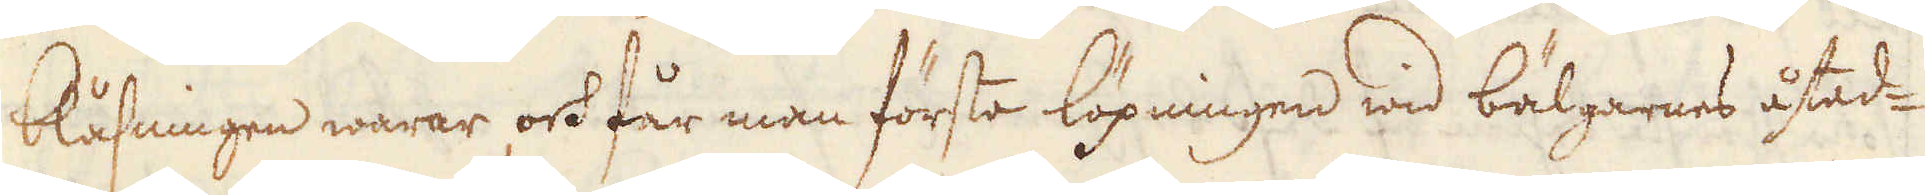blåsningen warar och får man första löpningen wid bäljarnes åtad-
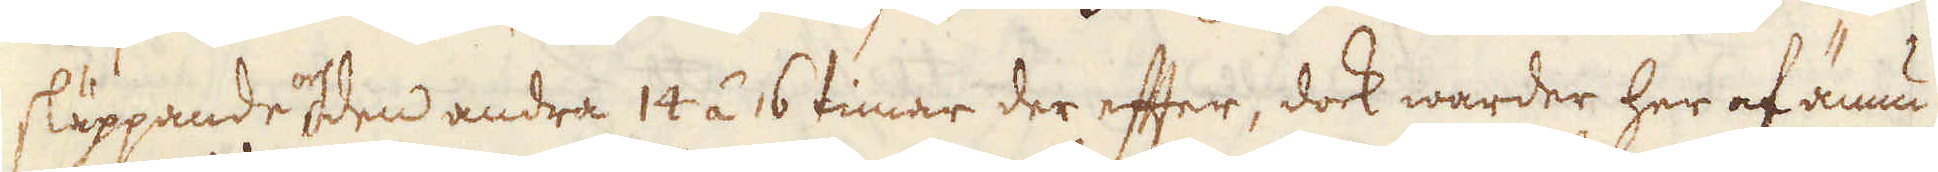släppande och den andra 14 á 16 timar der efter, dock warder her af ännu-
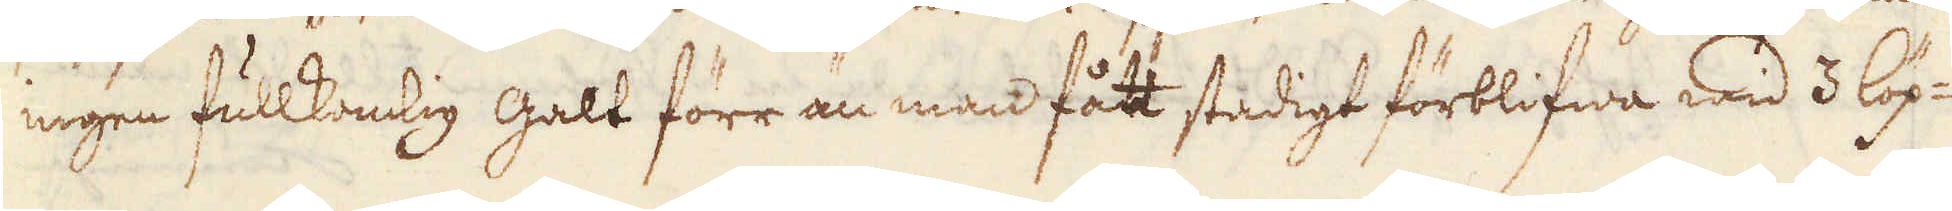ingen fullkomlig galt förr än man fått stadigt förblifwa wid 3 löp-
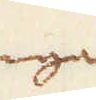ningar
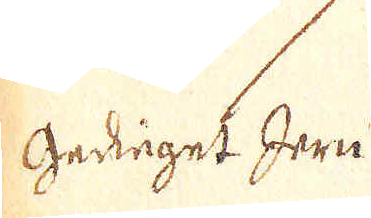Gediget Jern
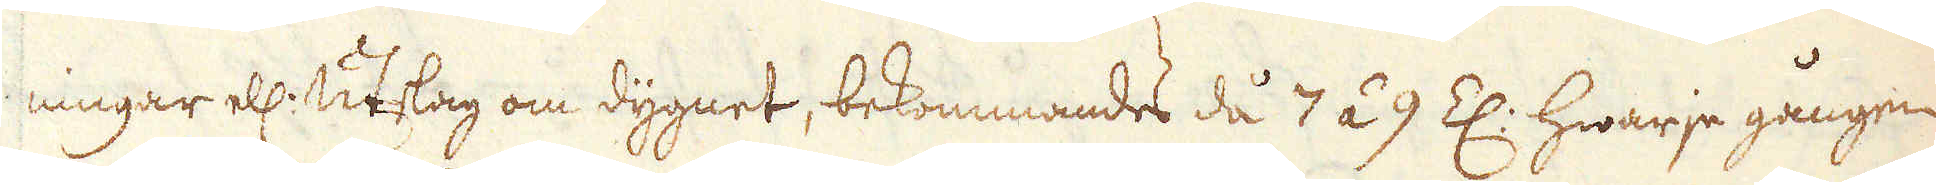ningar el: Utslag om dygnet, bekommandes då 7 á 9 Z: hwarje gången
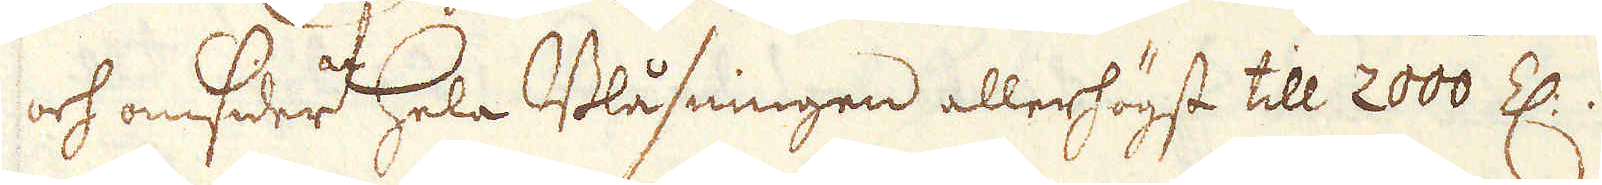och omsider hela Blåsningen allerhögst till 2000 Z:.
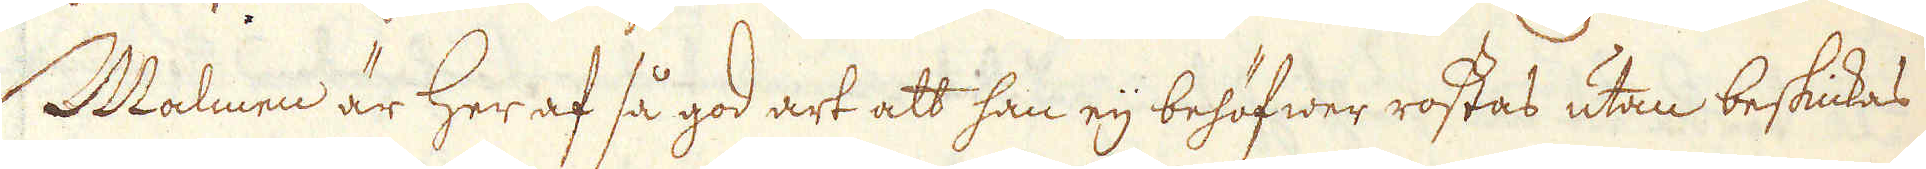Malmen är her af så god art att han eij behöfwer rostas utan beskickas
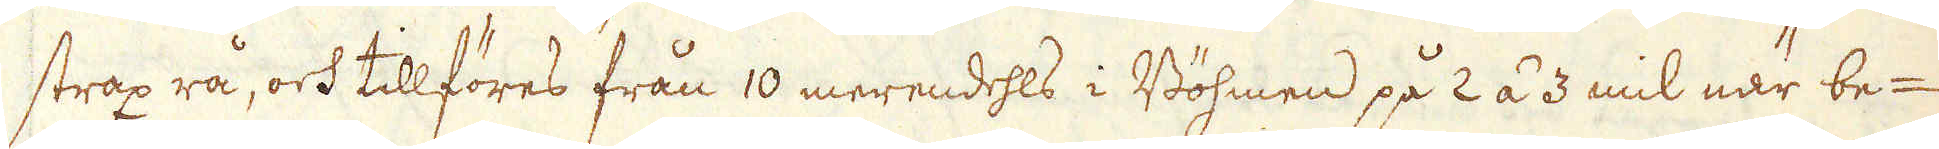strax rå, och tillföres från 10 merendehls i Böhmen på 2 á 3 mil när be-
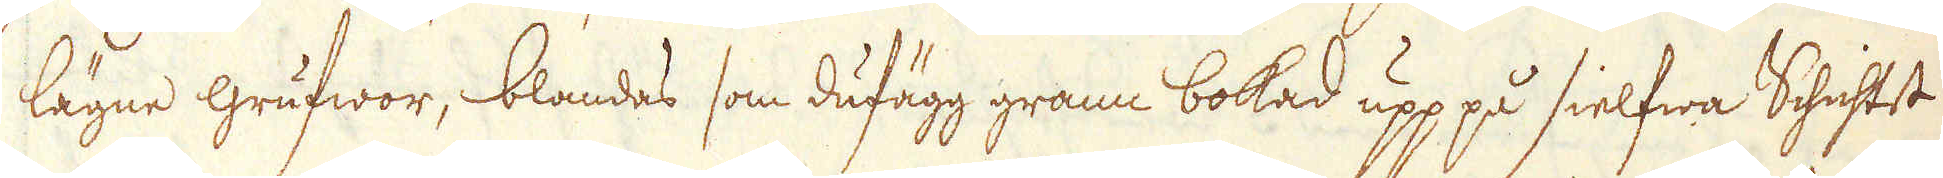lägne grufwor, blandas som dufägg grann bokad upp på sielfwa Schichtet
